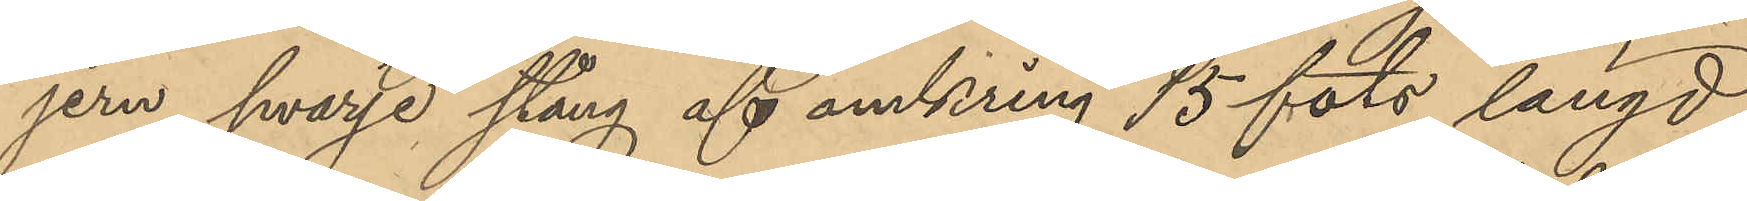jern, hvarje stång af omkring 15 fots längd,
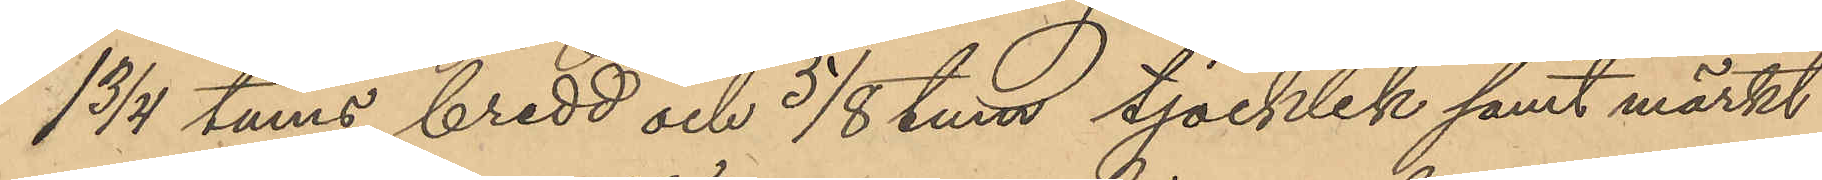1 3/4 tums bredd och 5/8 tum tjocklek samt märkt
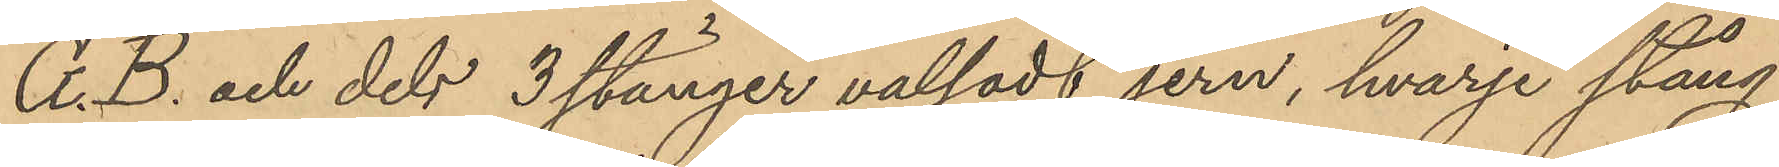G.B. och dels 3 stänger valsadt jern, hvarje stång
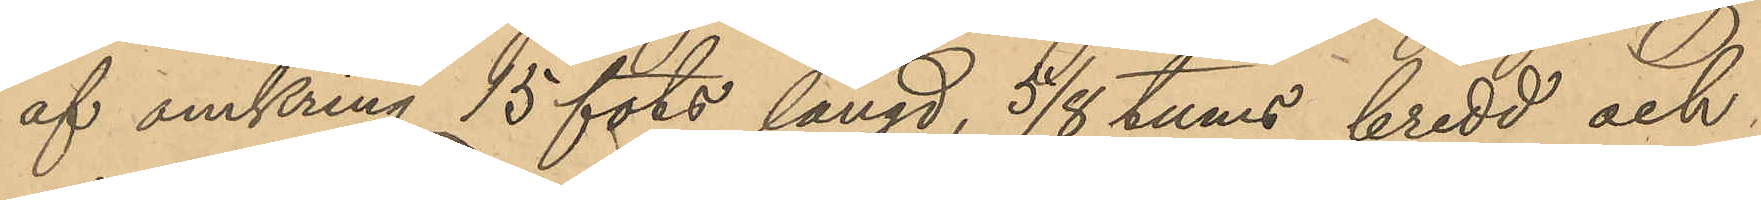af omkring 15 fots längd, 5/8 tums bredd och
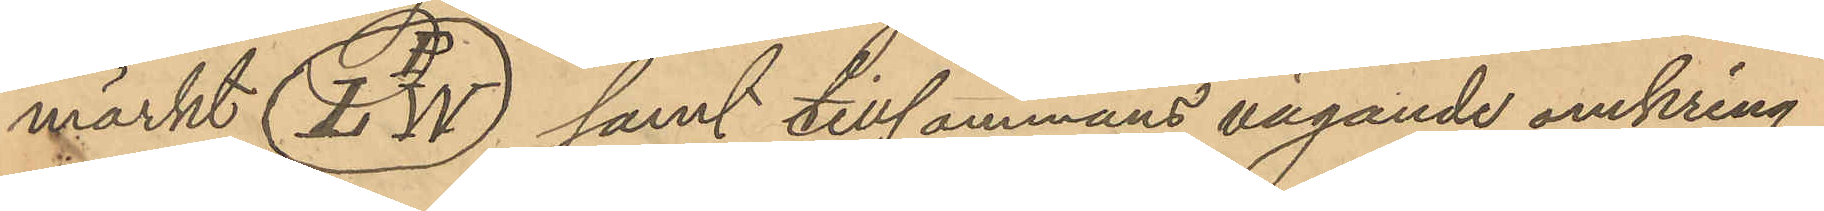märkt L P W samt tillsammans vägande omkring
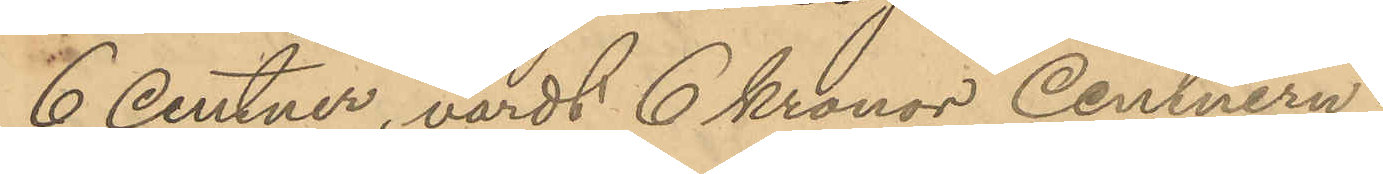6 Centner, värdt 6 kronor Centnern;
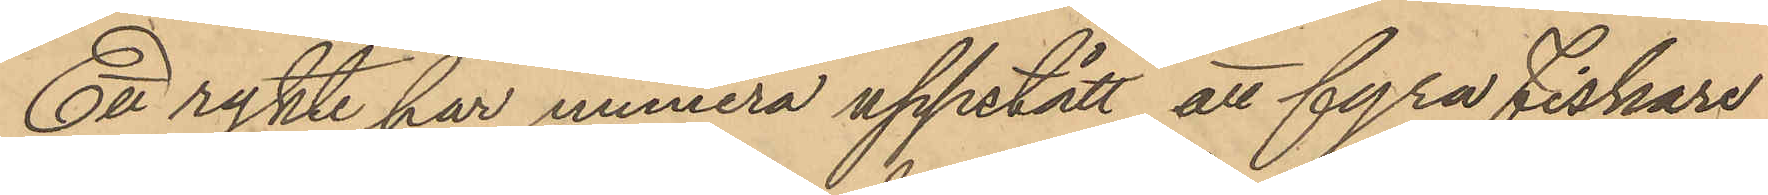Ett rykte har numera uppstått att fyra fiskare
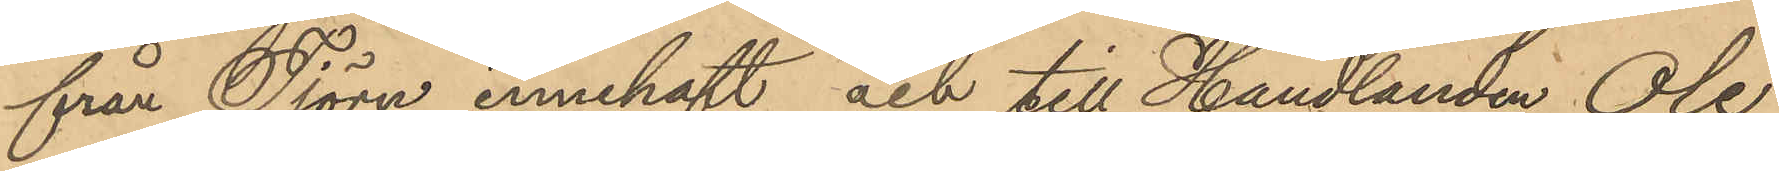från Tjörn innehaft och till Handlanden Ole
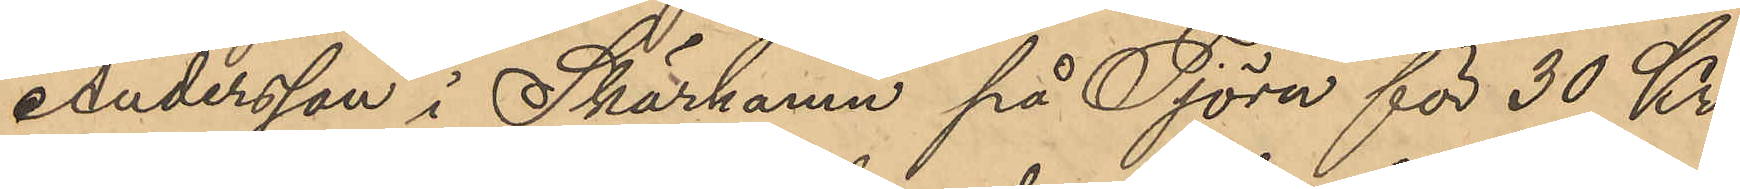Andersson i Skärhamn på Tjörn för 30 Kr.
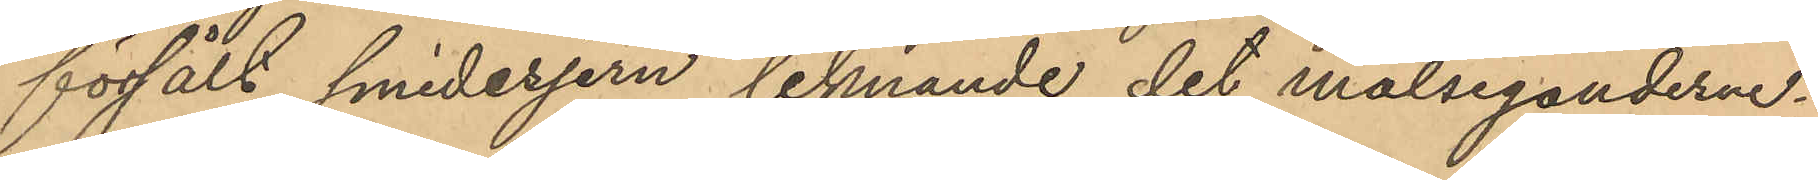försålt smidesjern liknande det målseganderne.
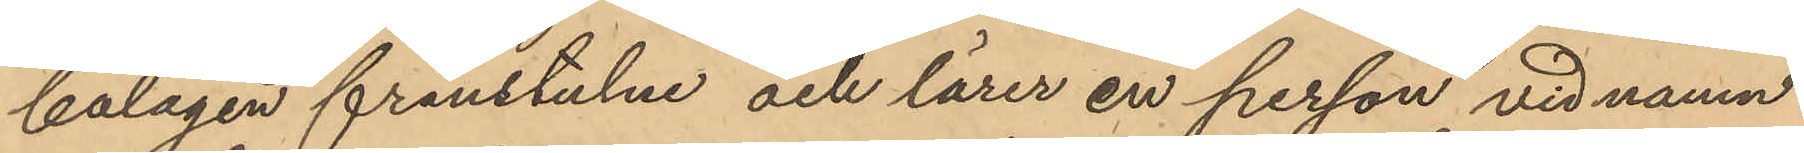bolagen frånstulne och lärer en person vid namn
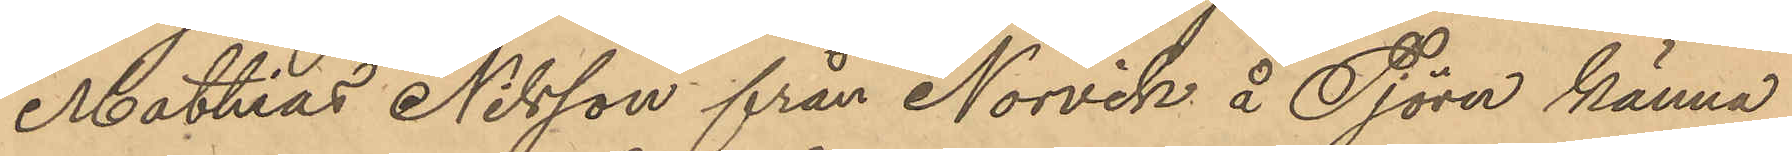Mattias Nilsson från Norvik å Tjörn känna
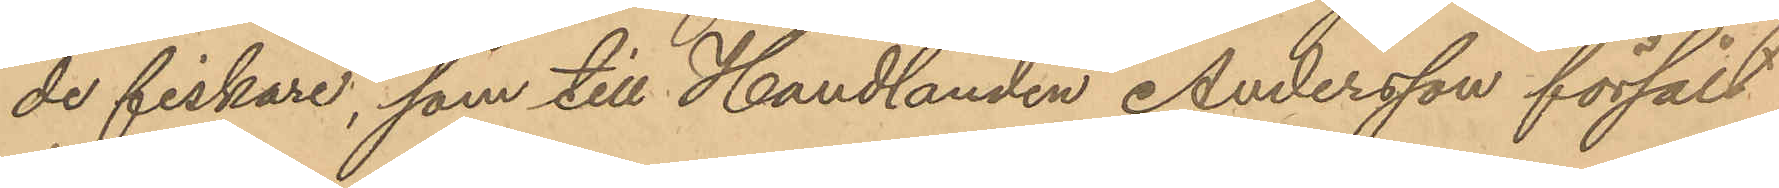de fiskare, som till Handlanden Andersson försålt
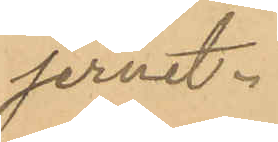jernet.
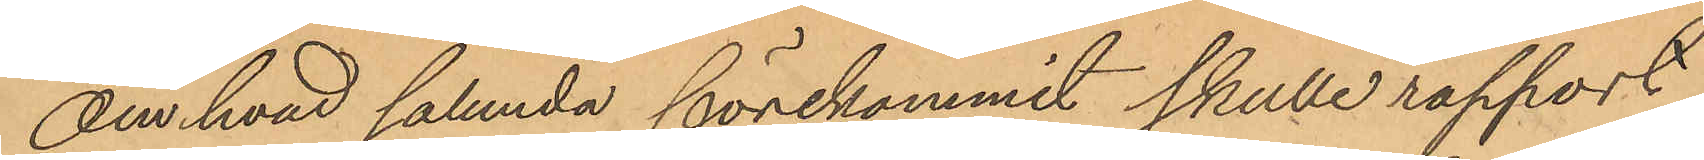Om hvad sålunda förekommit skulle rapport
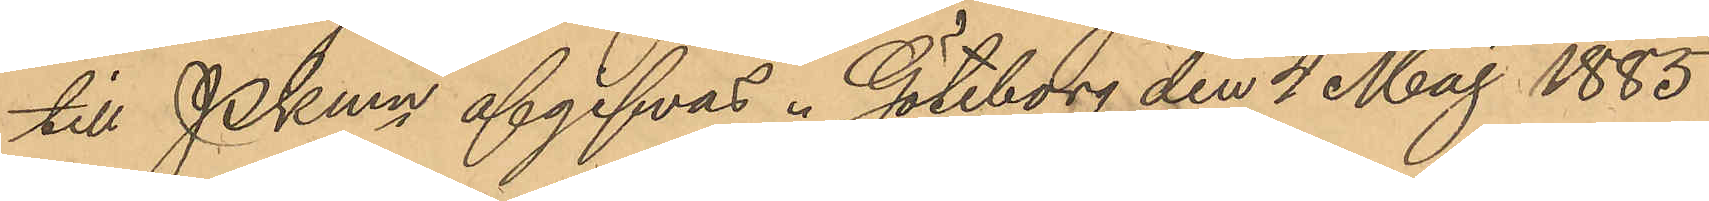till PKmn afgifvas. Göteborg den 4 Maj 1885.
